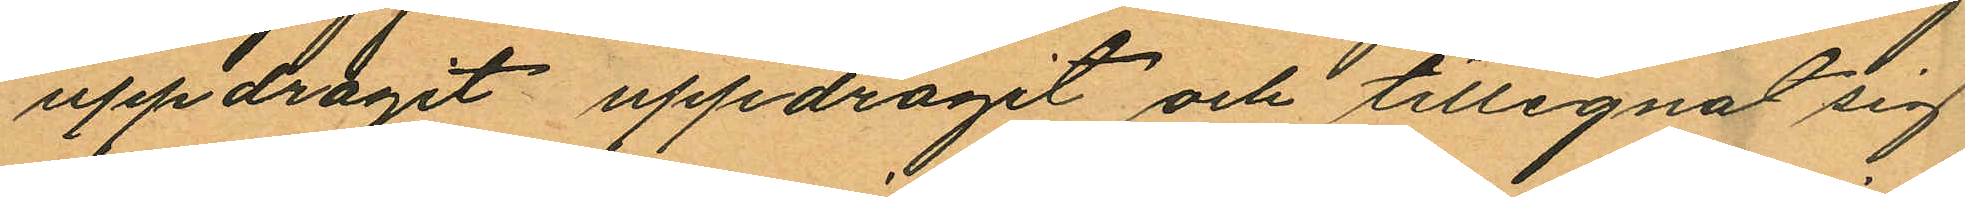uppdragit uppdragit och tillegnat sig
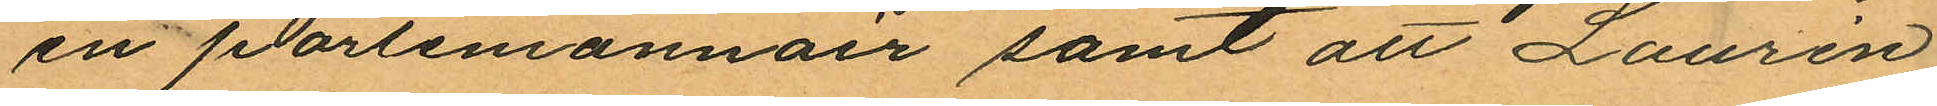en portemonnair samt att Laurén
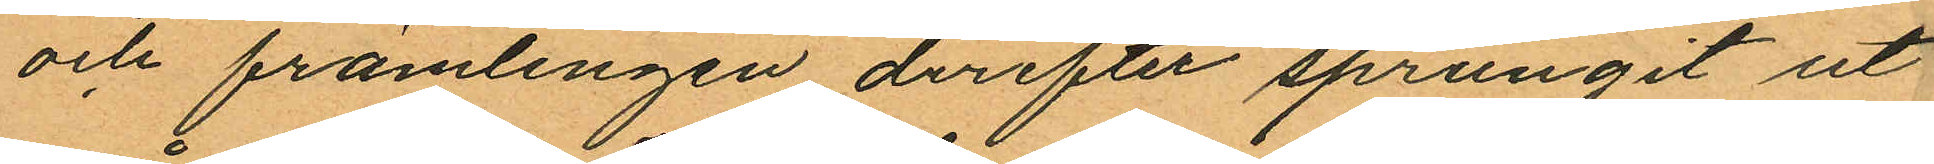och främlingen derefter sprungit ut
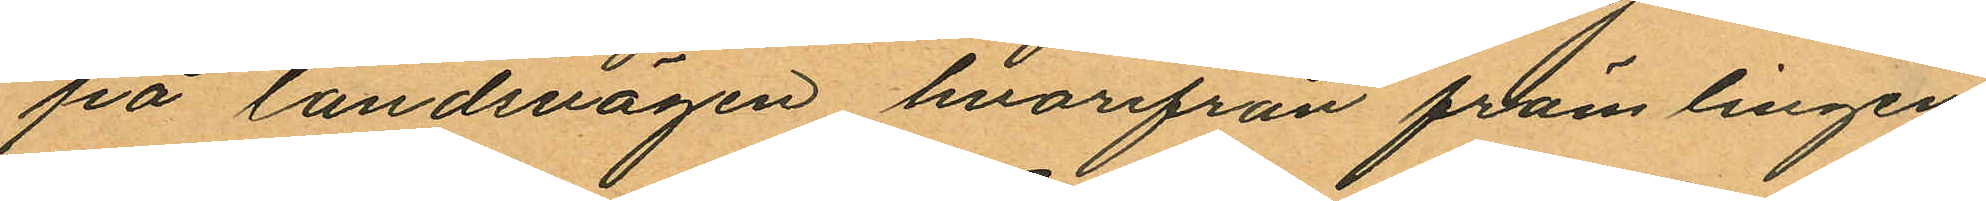på landsvägen hvarifrån främlingen
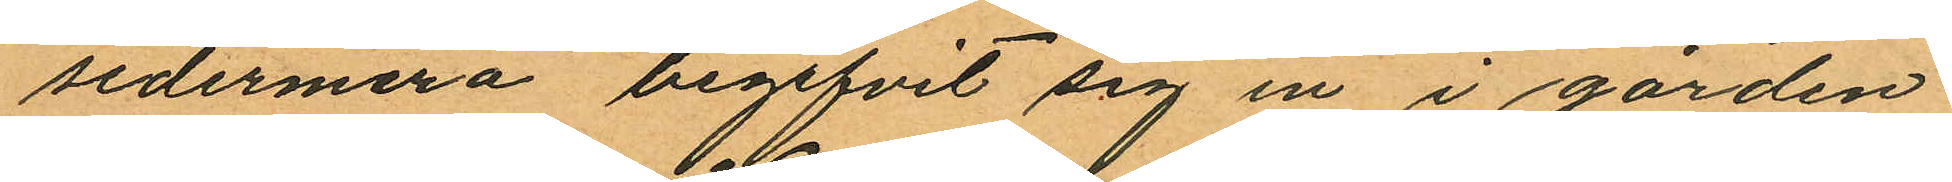sedermera begifvit sig in i gården
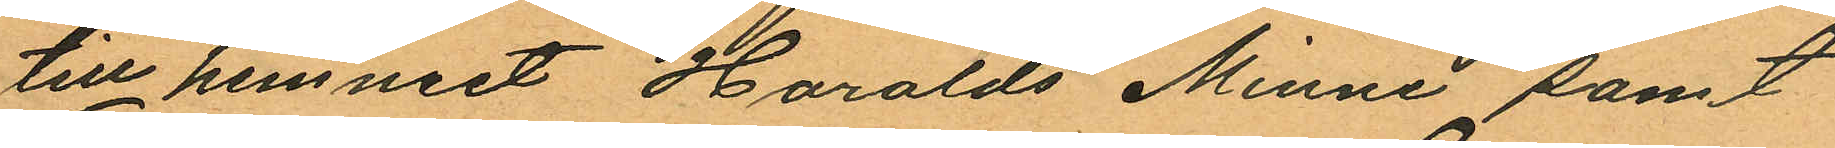till hemmet Haralds Minne samt
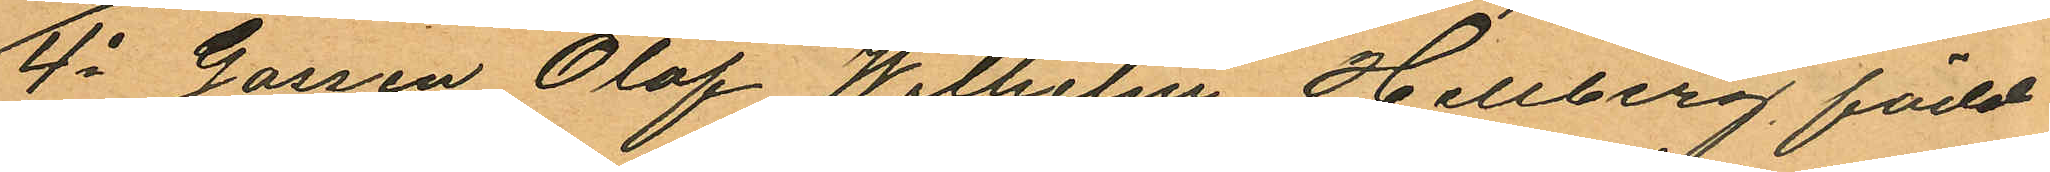4o Gossen Olof Wilhelm Hellberg, född
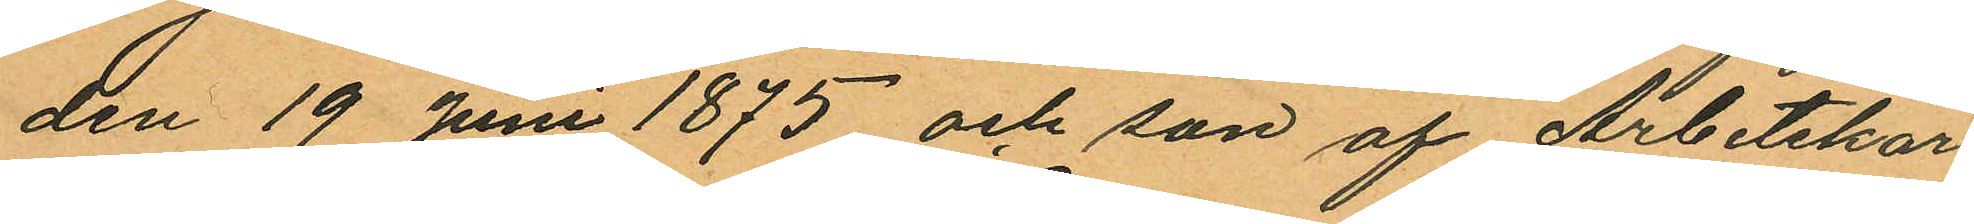den 19 Juni 1875 och son af Arbetskar¬
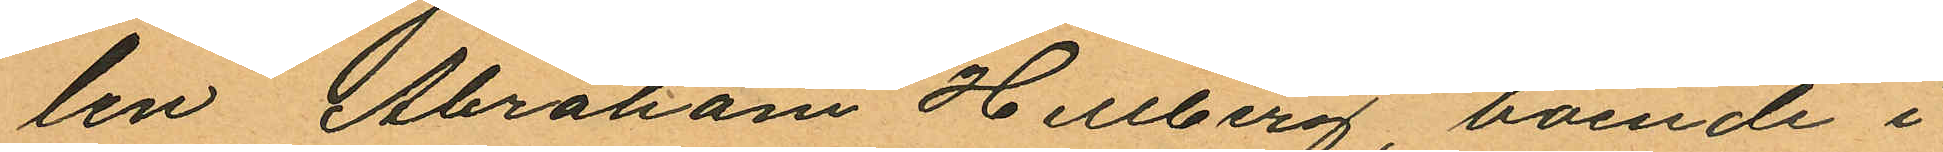len Abraham Hellberg, boende i
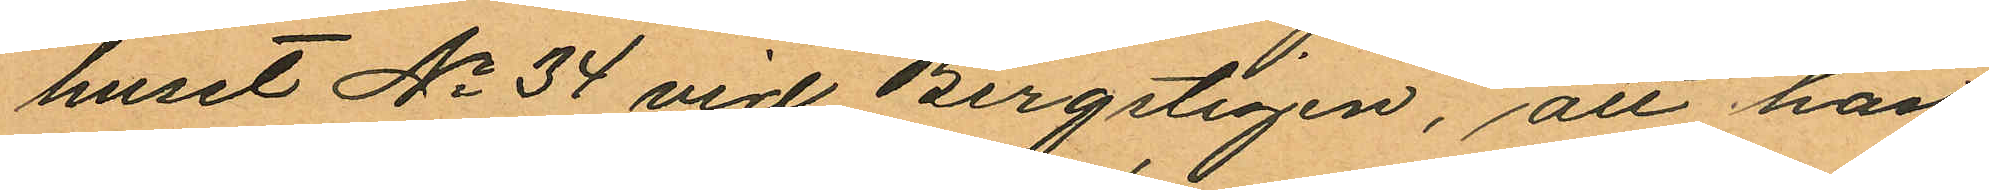huset No 34 vid Bergstigen, att han
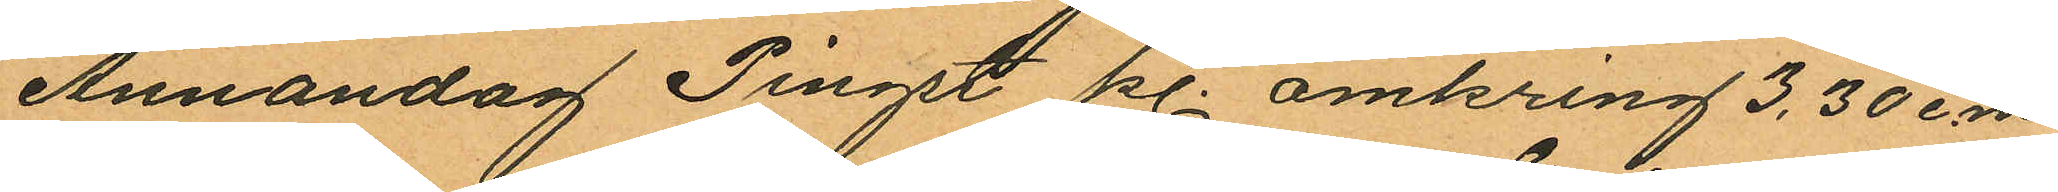Annandag Pingst kl. omkring 3,30 e.m
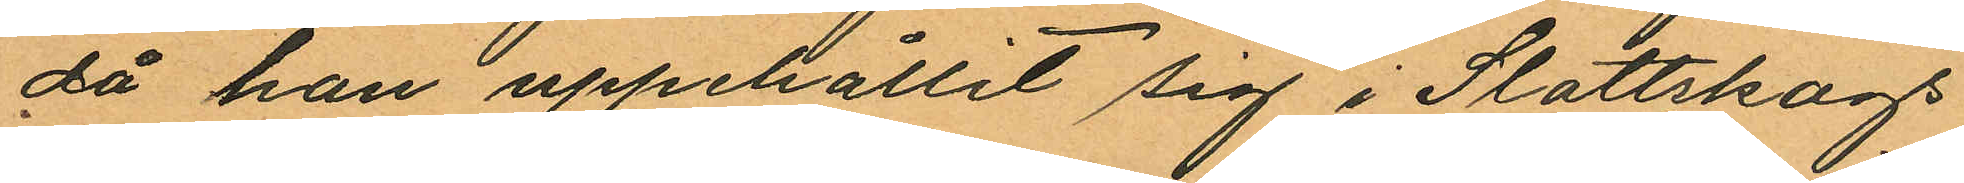då han uppehållit sig i Slottskogs
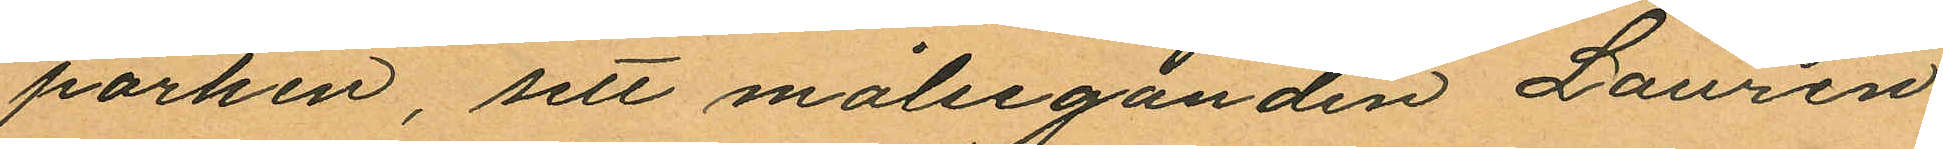parken, sett målseganden Laurén
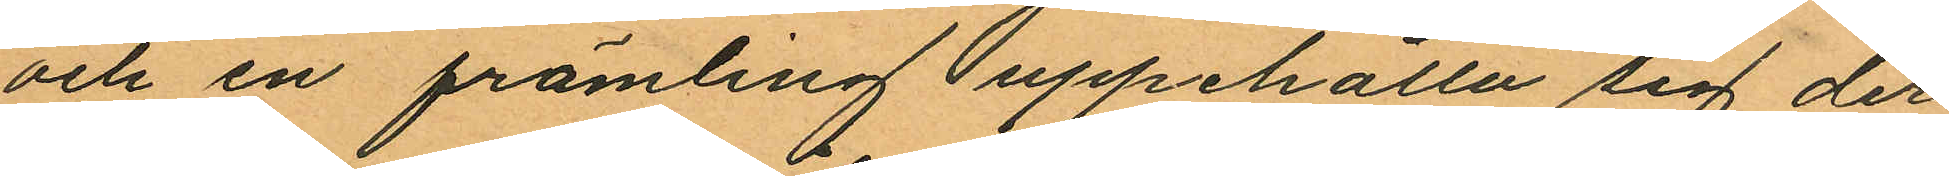och en främling uppehålla sig der
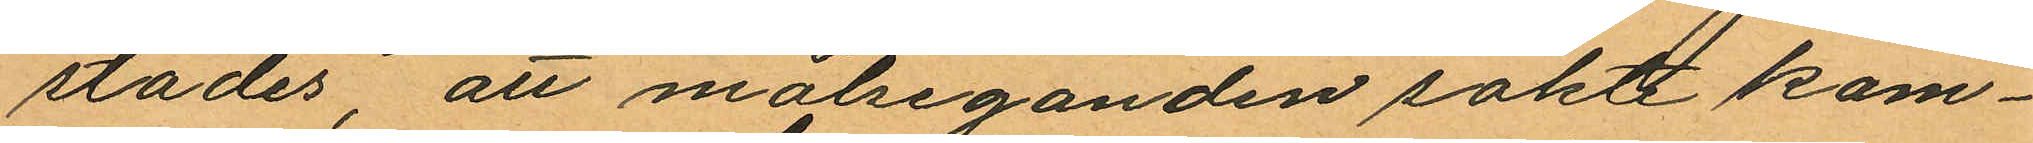städes, att målseganden sokte kom¬
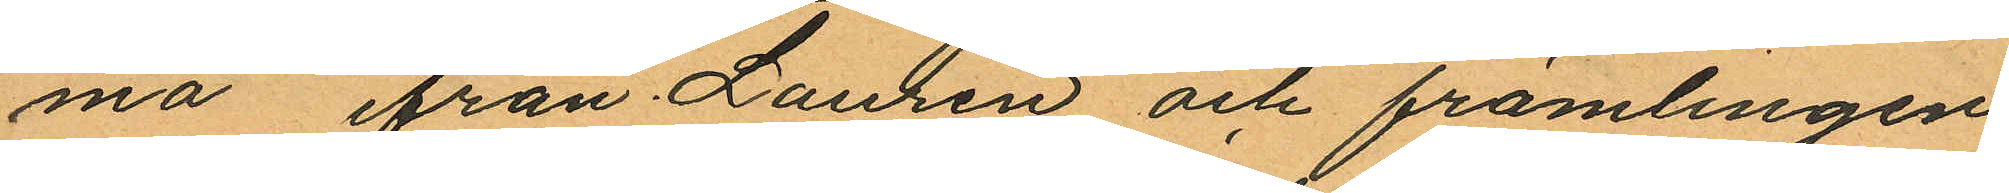ma ifrån Laurén och främlingen
